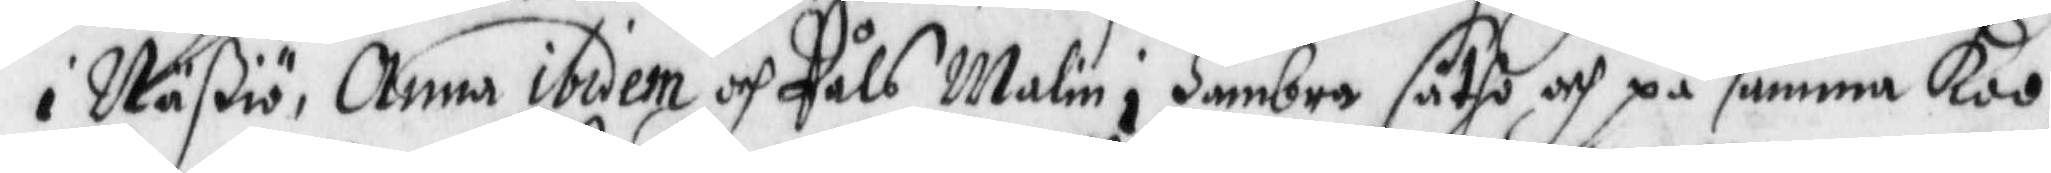i Näßiö, Anna ibidem och Påls Malin i Hambra sätho och på samma Koo,
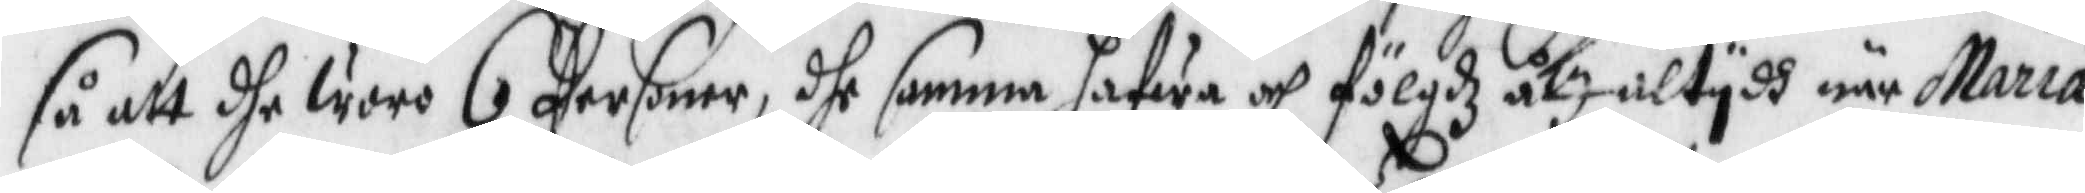så att dhe woro 6 Personer, dhe samma hafwa och fölgdz åth altydh när Maria
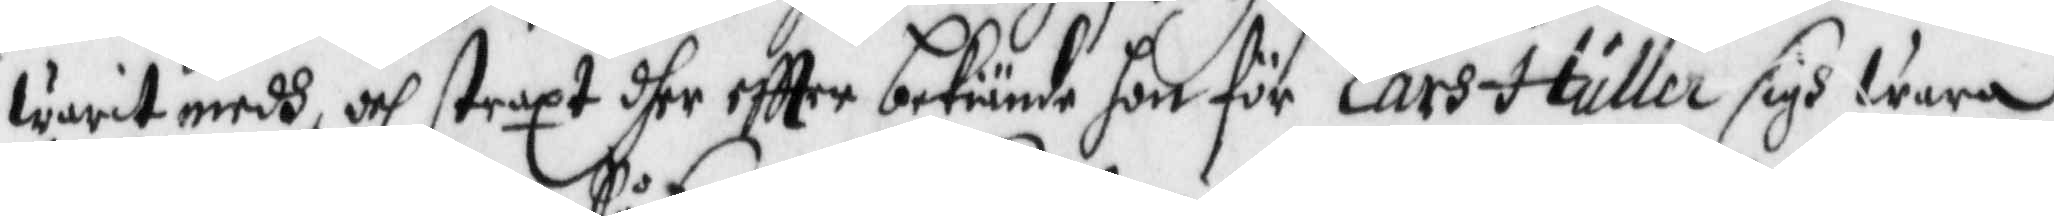warit medh och straxt dher eftter bekiäne hon för Lars Huller sigh wara
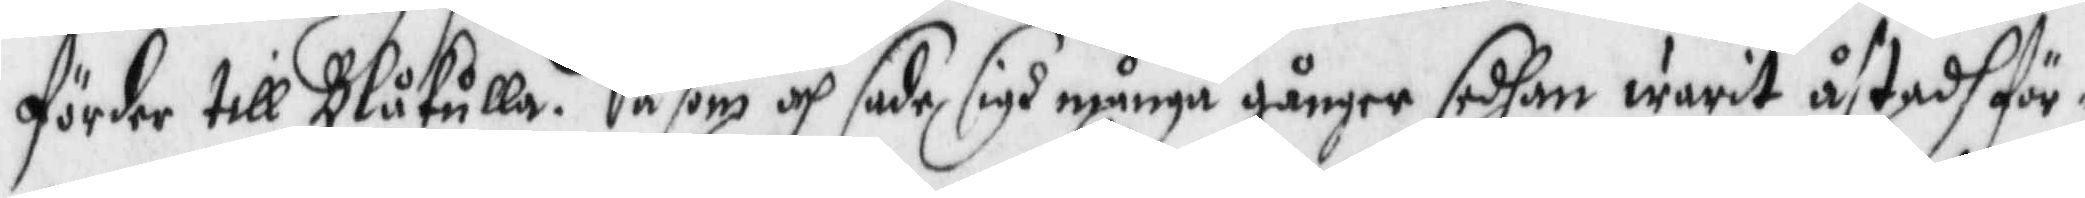förder till Blåkulla. Såsom och sade sigh många gånger sedhan warit åstadh för¬
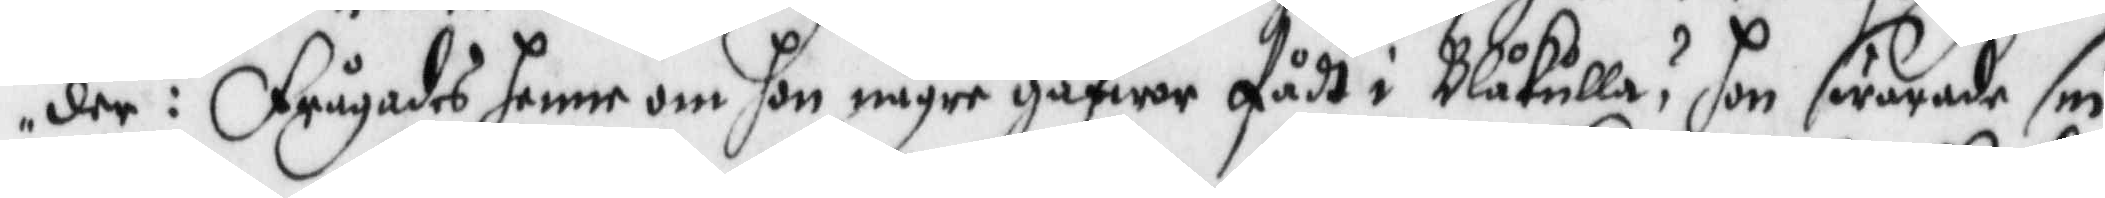der: Frågades henne om hon någre gåfwer fådt i Blåkulla? hon swarade sin
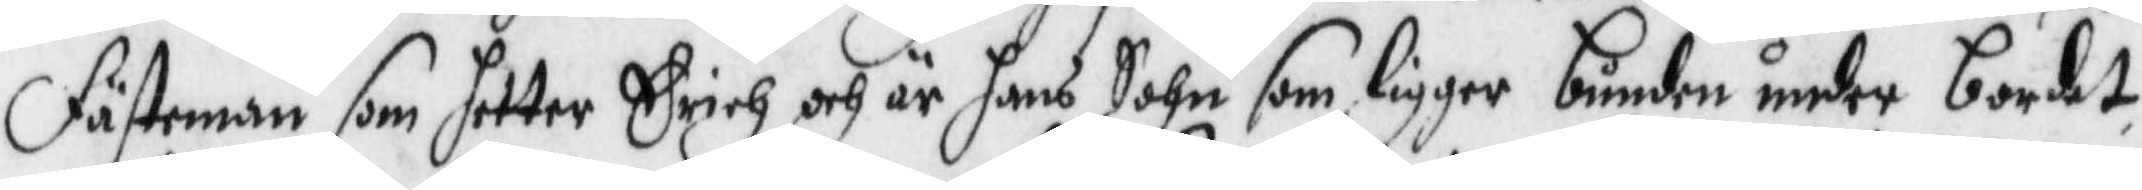Fästeman som hetter Erich och är hans Sohn som ligger bunden under bordet,
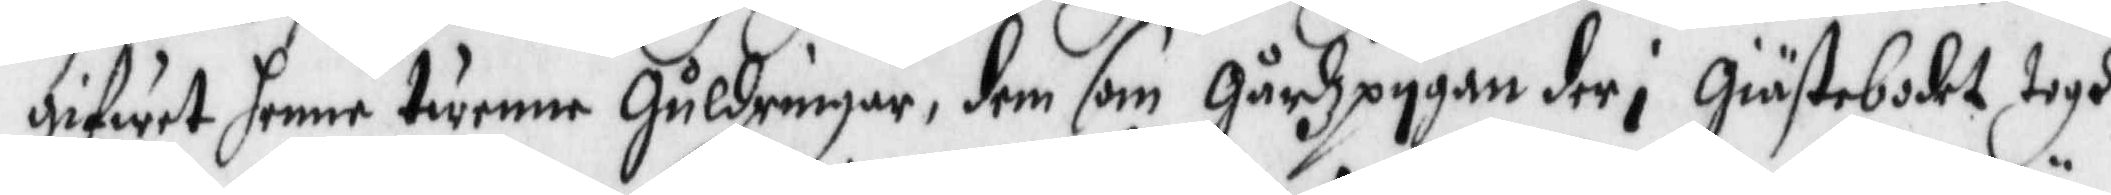gifwer henne twenne Guldringar, dem som gårdzpygan der i giästebodet togh
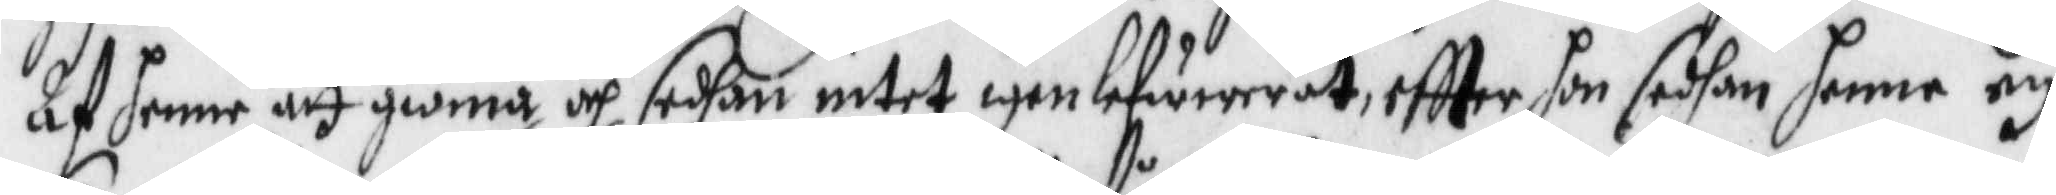af henne att giörna och sedhan intet igen lefwereraat, eftter hon sedhan henne ey
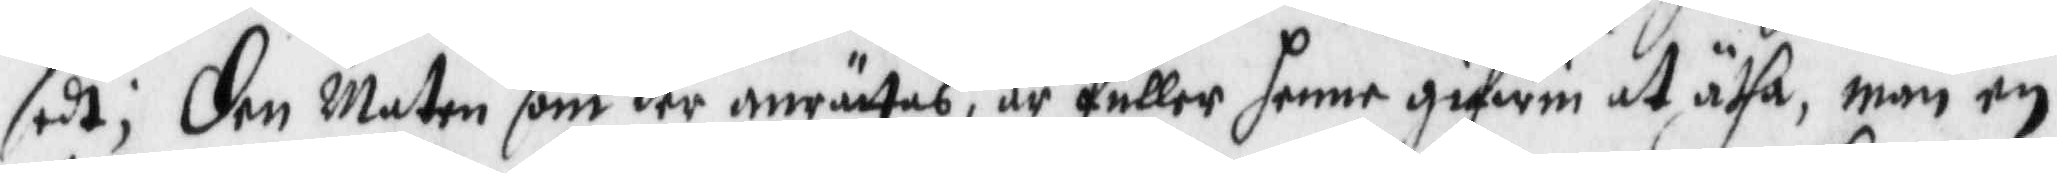sedt;Den Maten som der anrättas, är fuller henne gifwen at ätha, män en
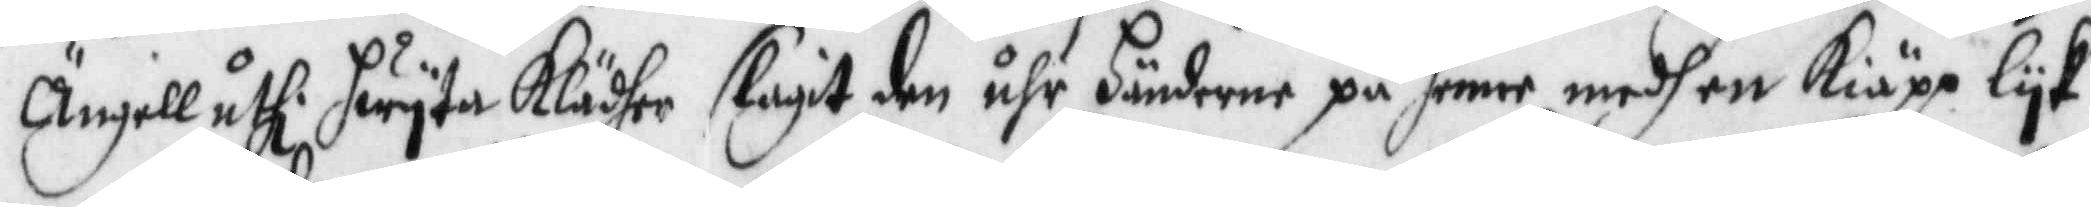Ängell uthi hwyta Klädher slagit den uhr Händerne på henne medh en Kiäpp lyk
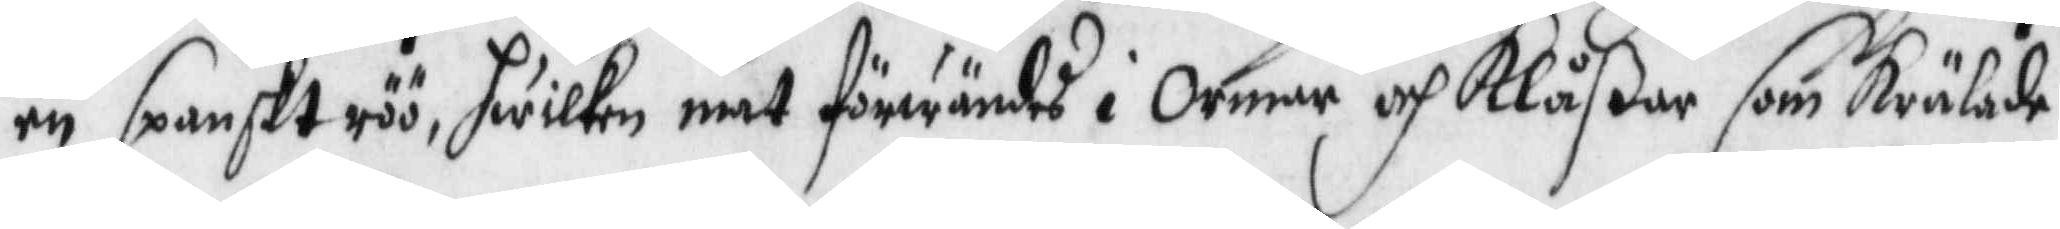en spanskt röö, hwilken mat förwändes i Ormar och Klåßar som krälade
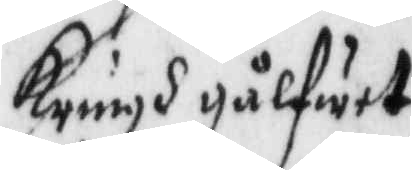kringh gålfwet.
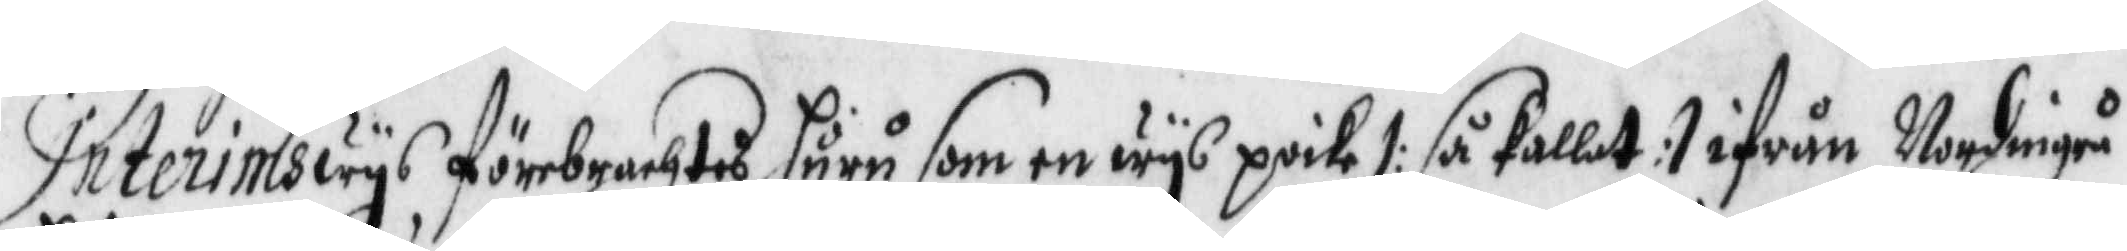Interimswys förebrachtes huru som en wys poike /: så kallat :/ ifrån Nordingrå
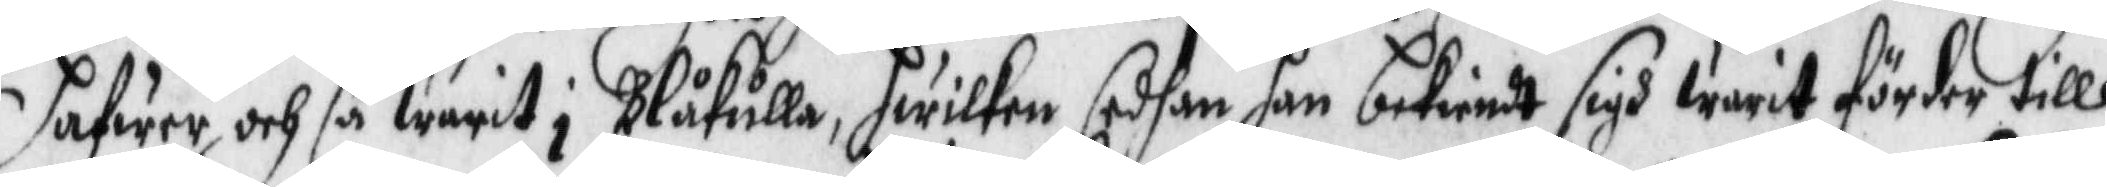hafwer och så warit i Blåkulla, hwilken sedhan han bekiendt sigh warit förder till
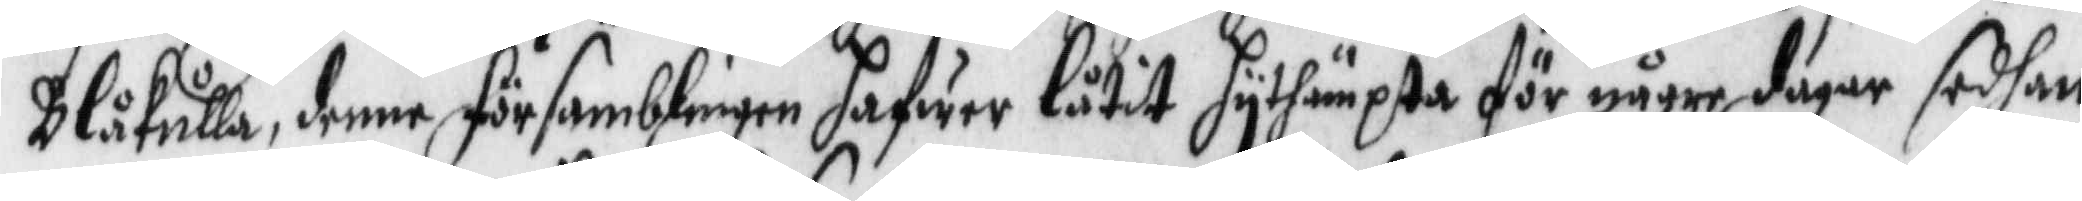Blåkulla, denne församblingen hafwer låtit hythämpta för några dagar sedhan
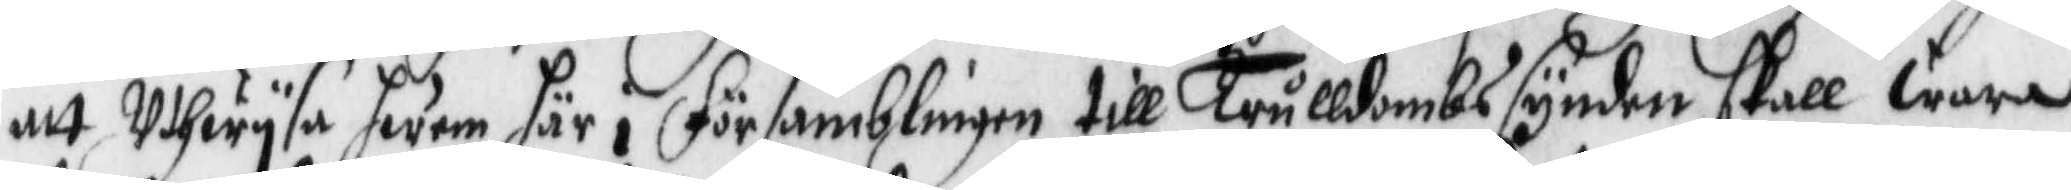att Uthwysa hwem här i församblingen till Trulldombssynder skall wara
